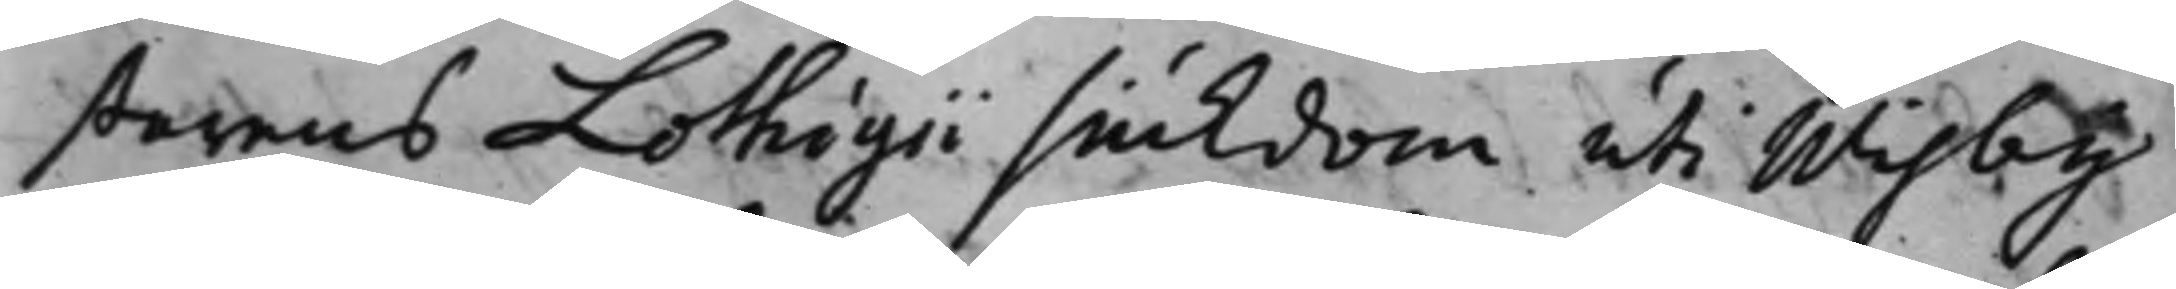starens Lothigii siukdom uti Wisby
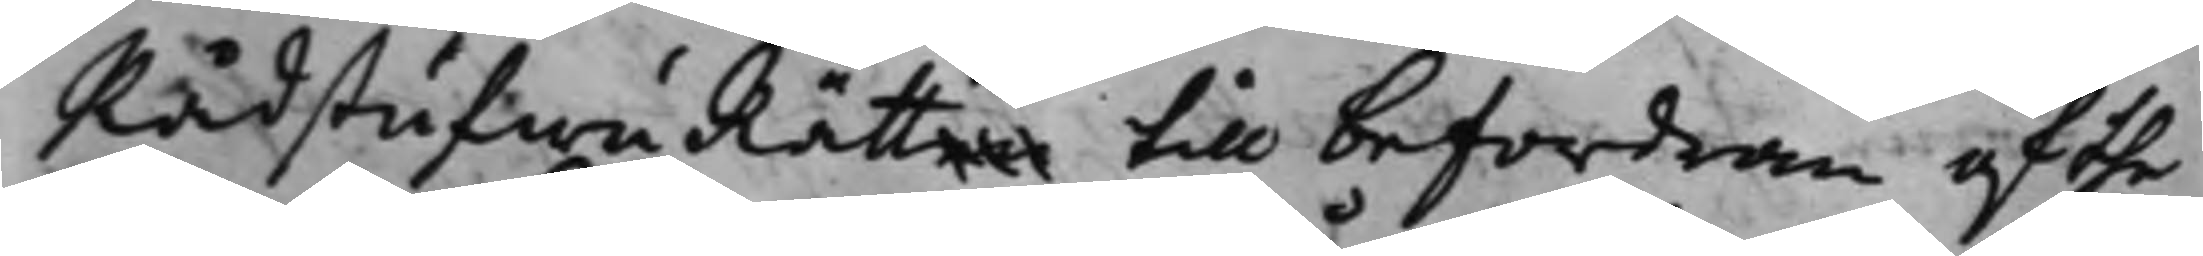RådstufwuRätten till befordran af the
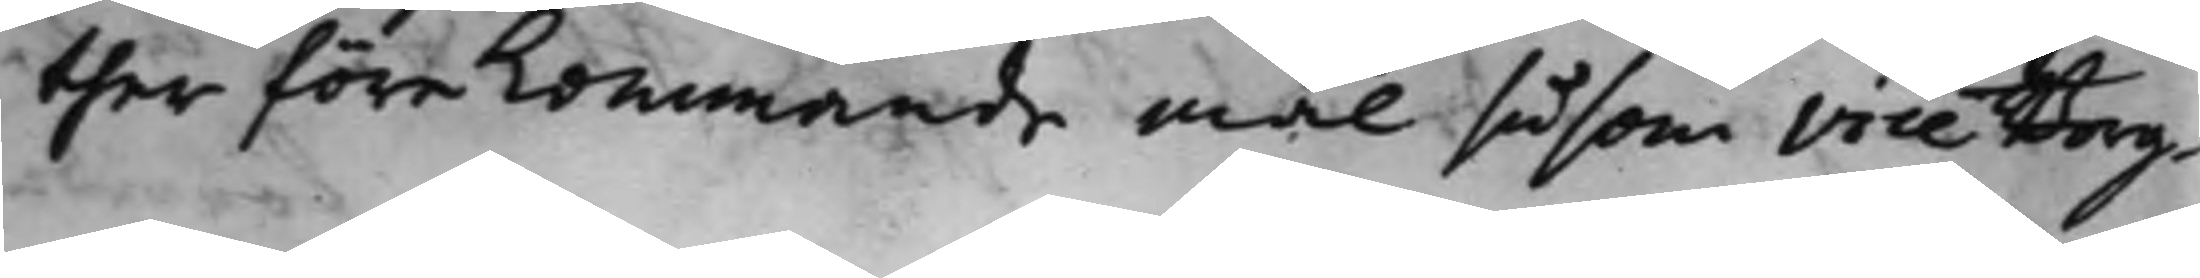ther förekommande mål såsom Vice Borg¬
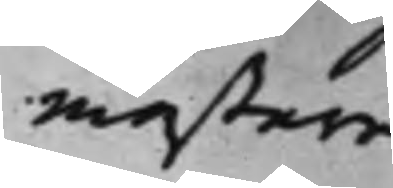mästare
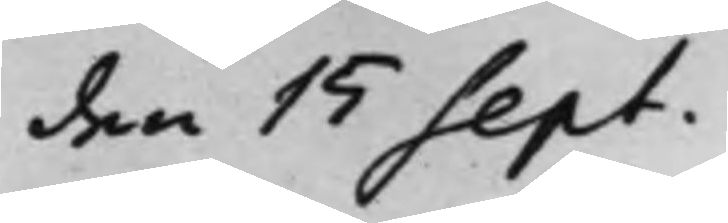den 15 Sept.
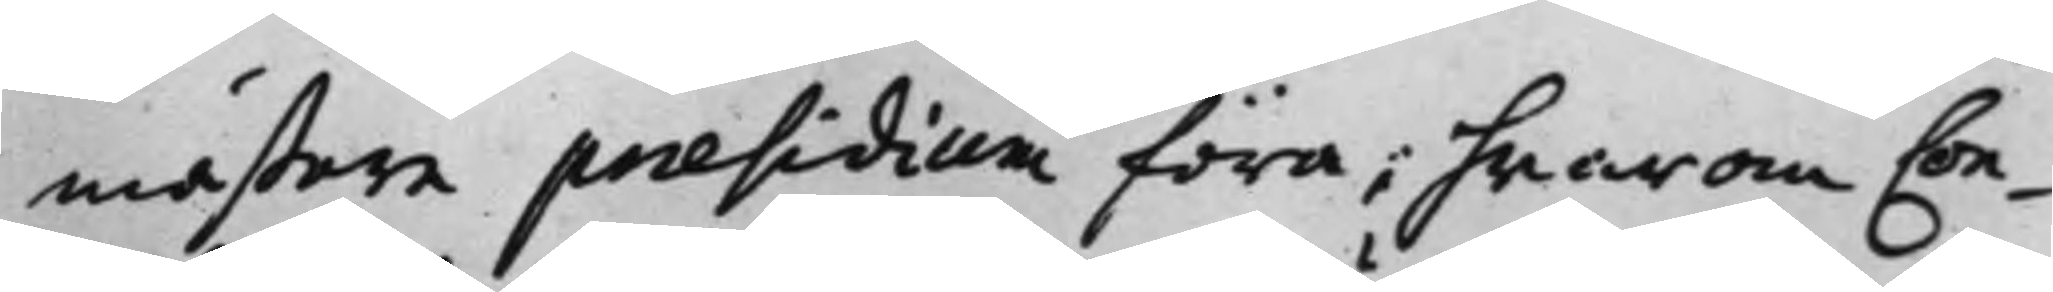mästare præsidium föra; hwarom Con¬
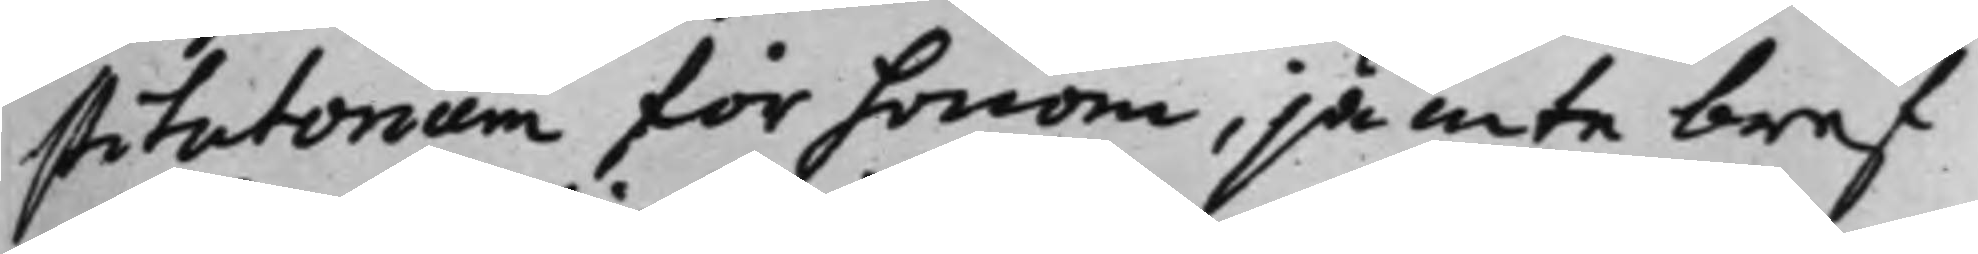stitutorium för honom, jämte bref
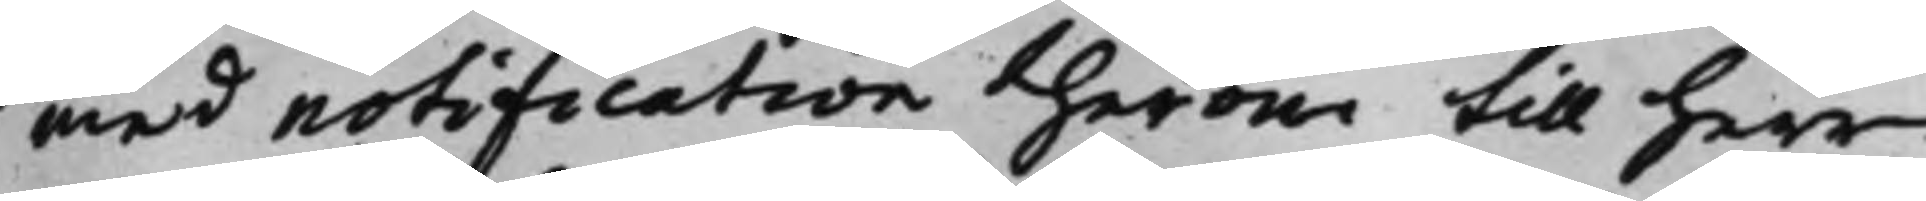med notification therom till Herr
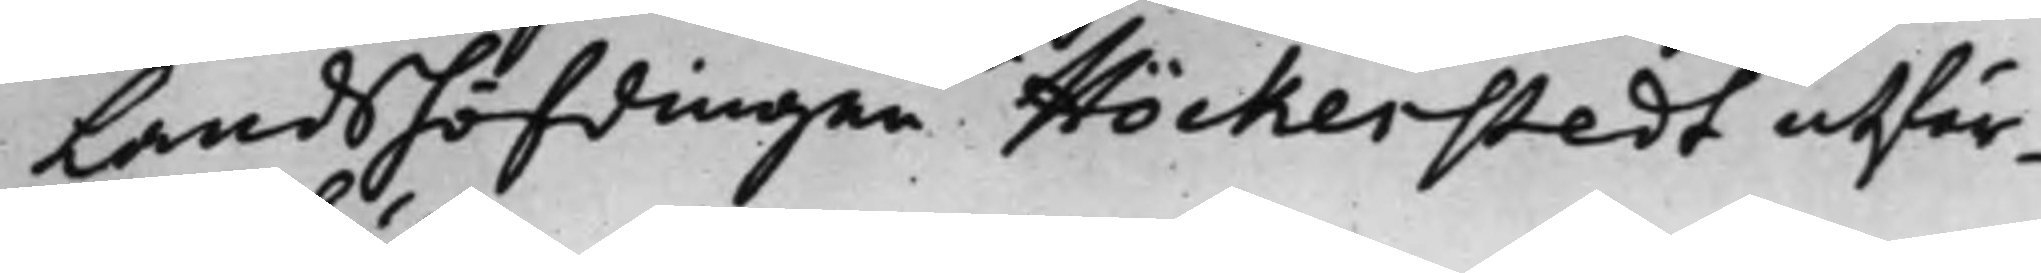Landshöfdingen Höckerstedt utfär¬
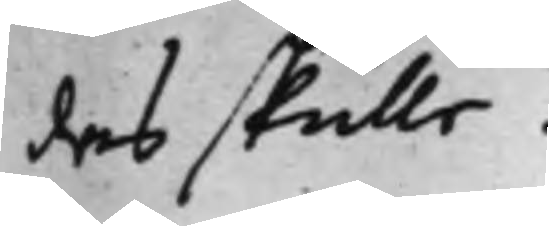das skulle.
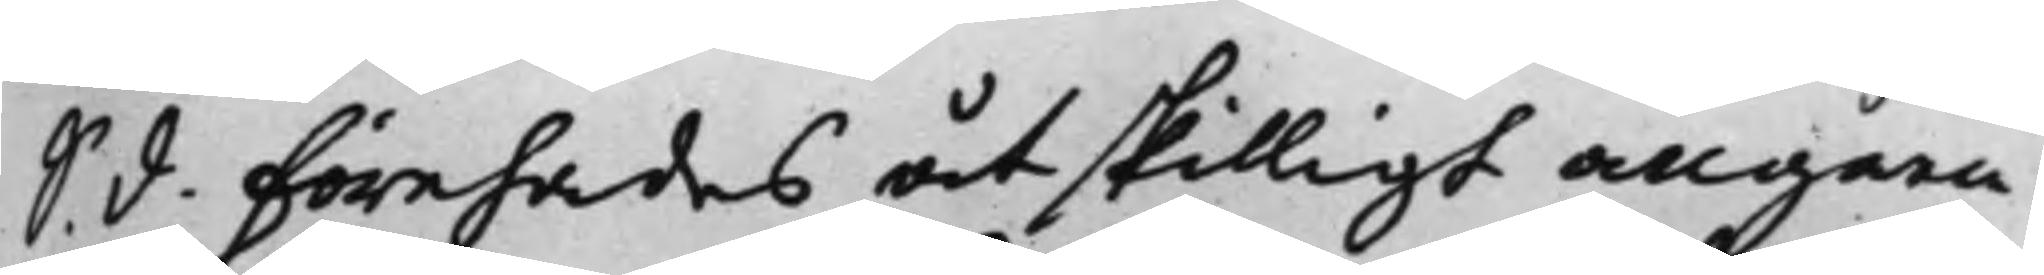S. d. Förehades åtskilligt angåen¬
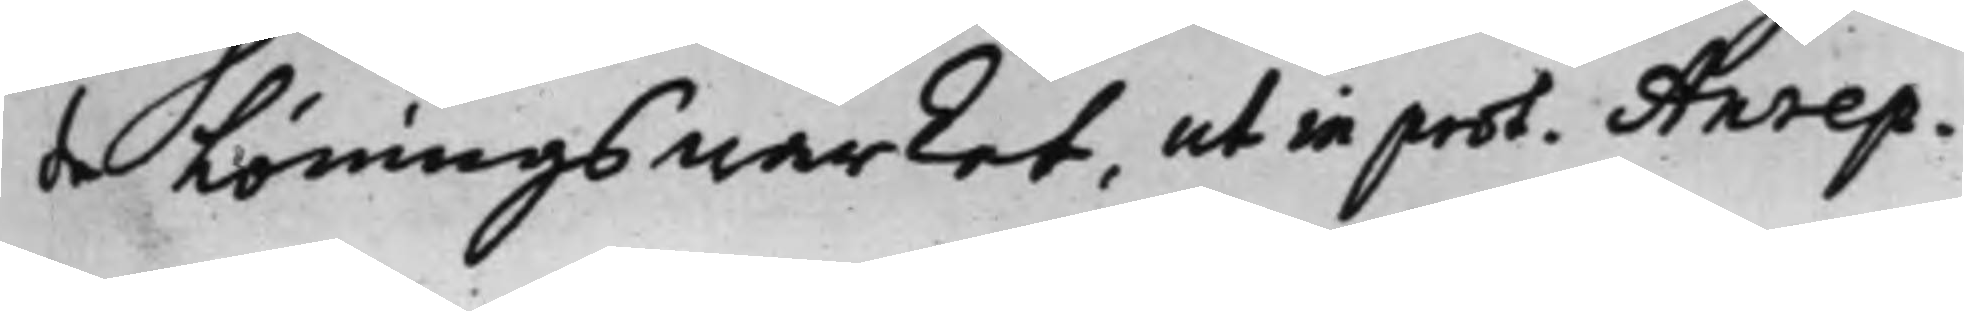de Löningswärket, ut in prot. Anrep.
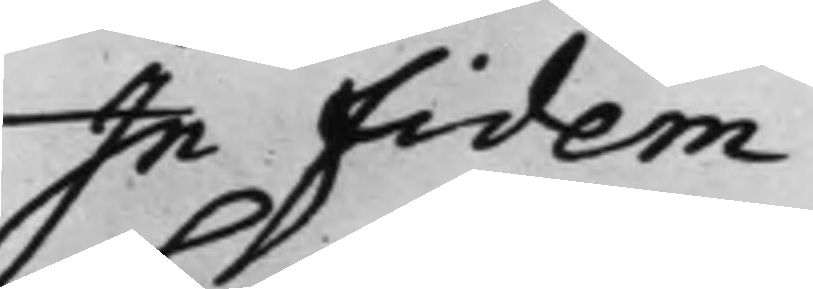In Fidem
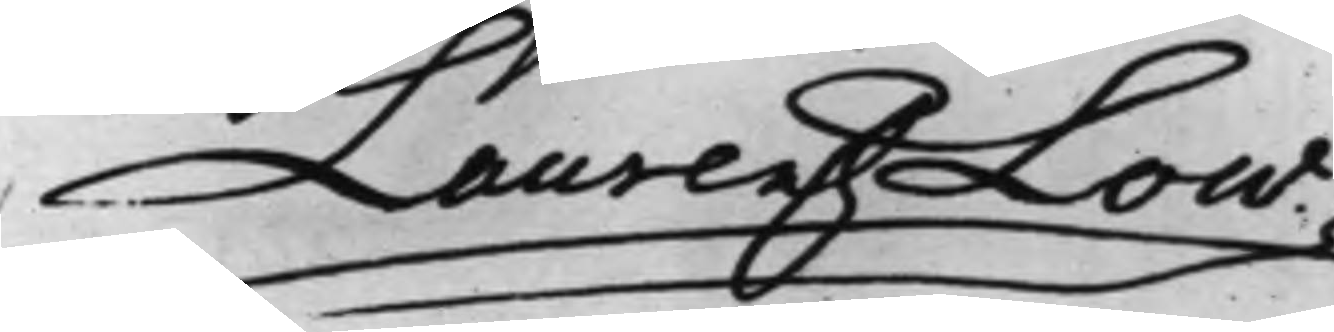Laurentz Low.
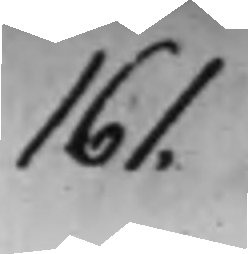161.
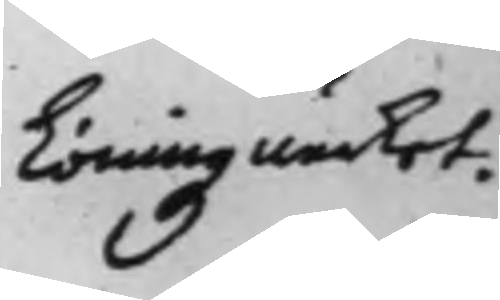Löningz wärket.
